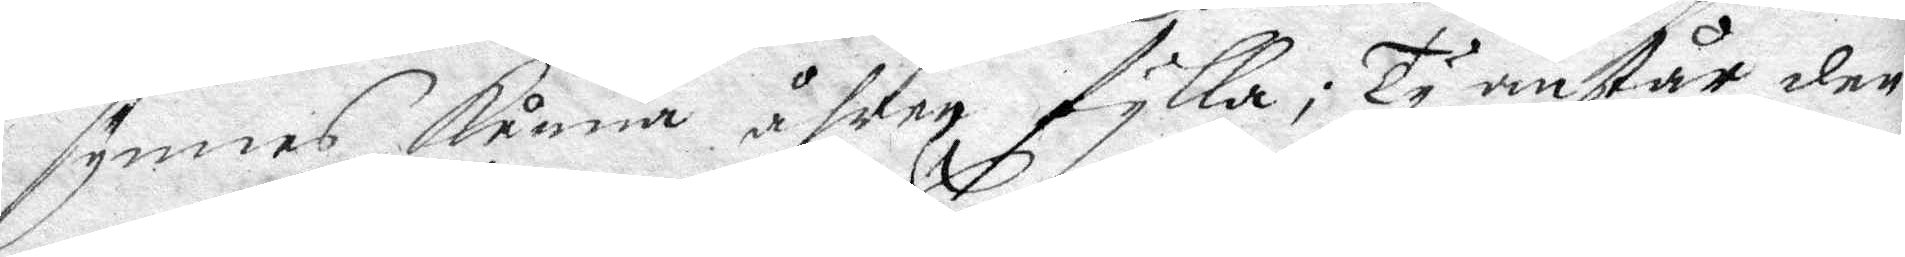synnes kunna åhren fylla; Ty anstår den¬
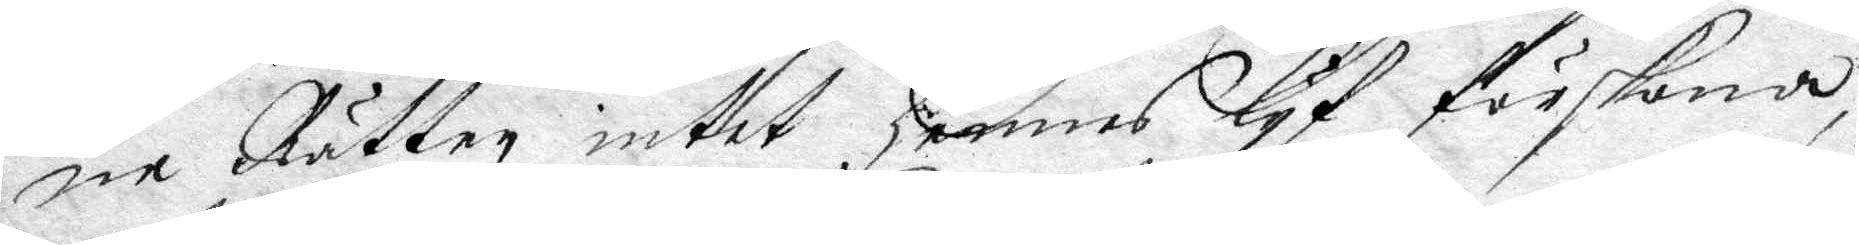ne Rätten intet hennes lyf förskona,
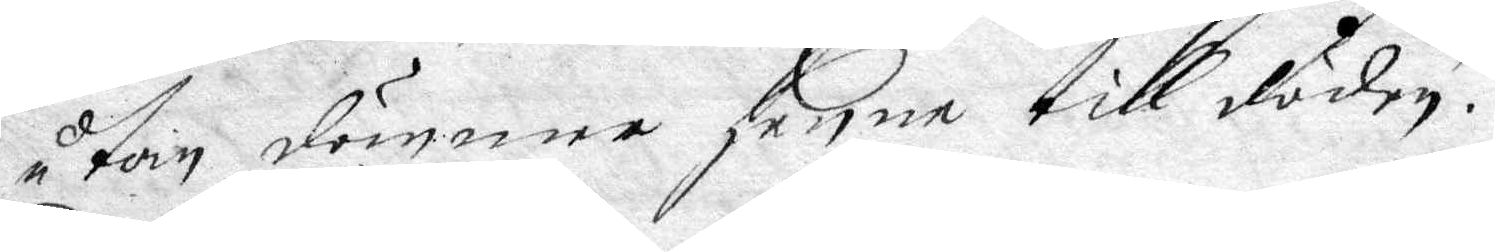utan dömmer henne till döden.
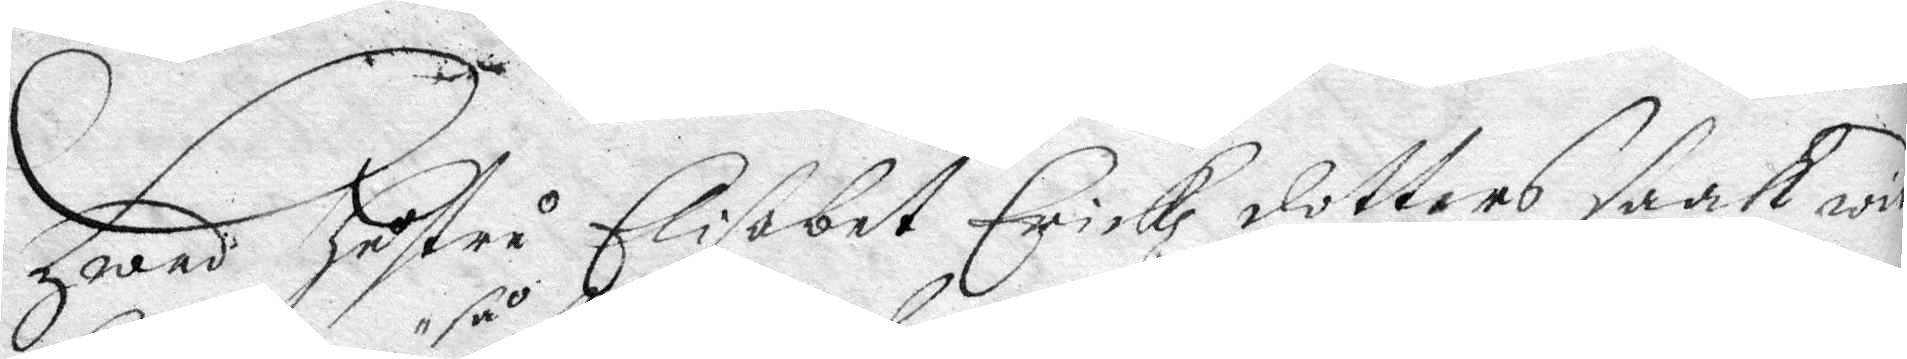Hwad hustru Elisabet Erickz dotters saak wid¬
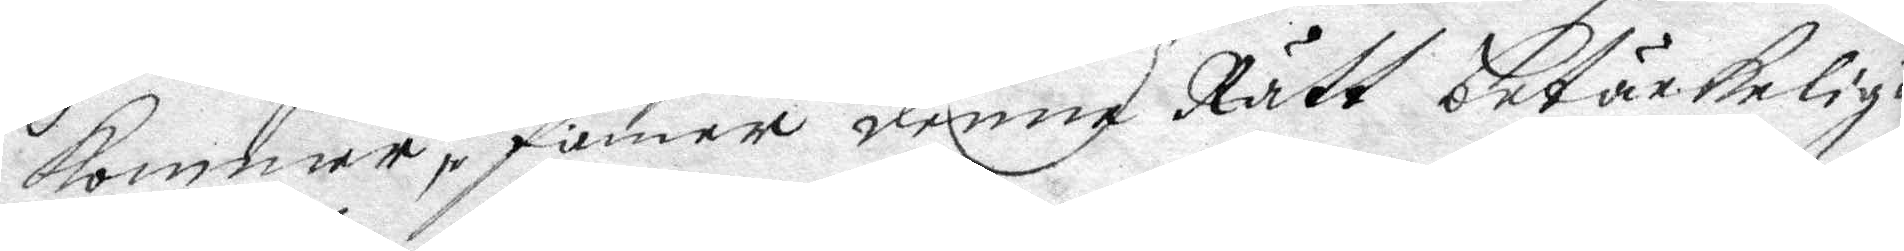kommer så dinner denne Rätt betänkeligit
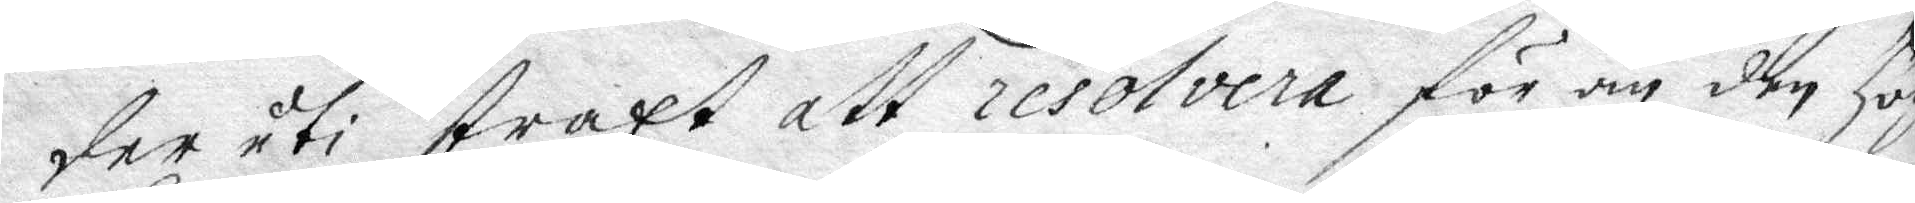der uti straxt att resolvera för än den Högl.
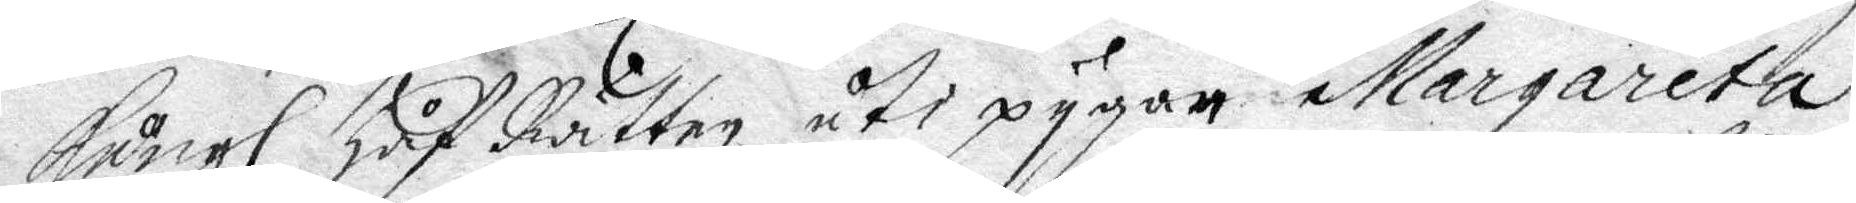Kongl. Håf Rätten uti pygan Margareta
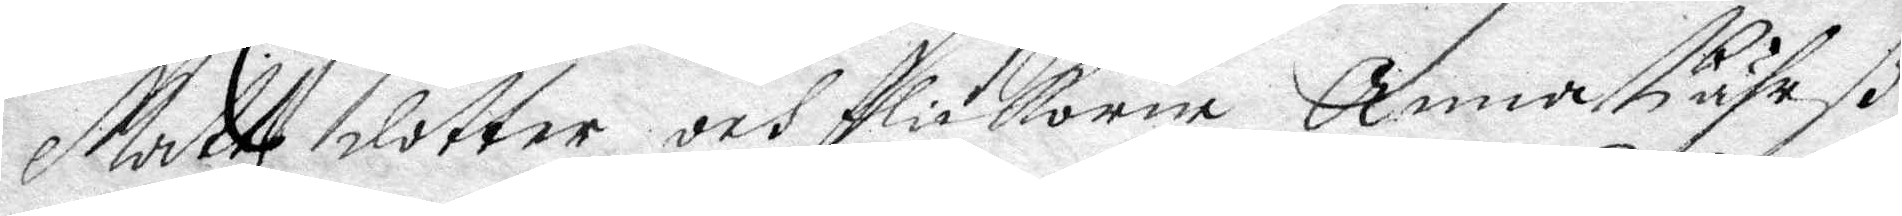Mattzdotter och flikorna Anna Pährß¬
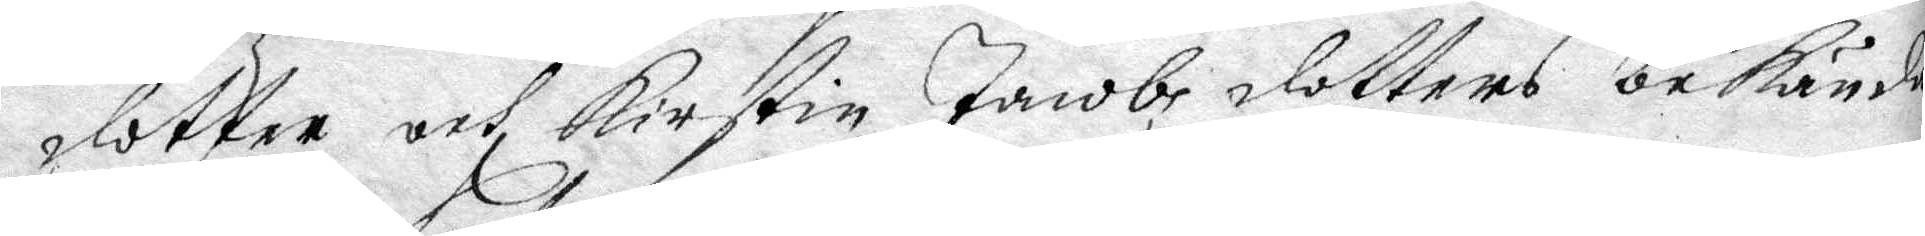dotter ochKirstin Jacobz dotters bekände
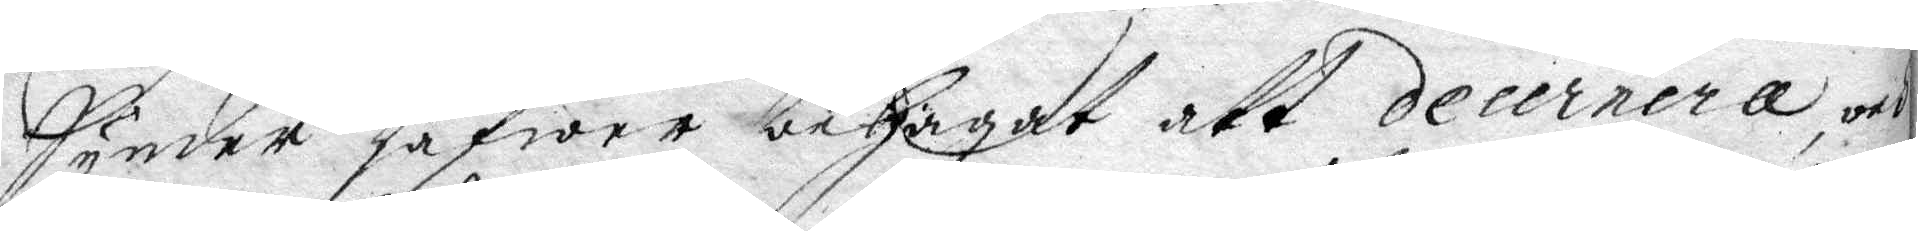Synder hafwer behagat att decerrera och
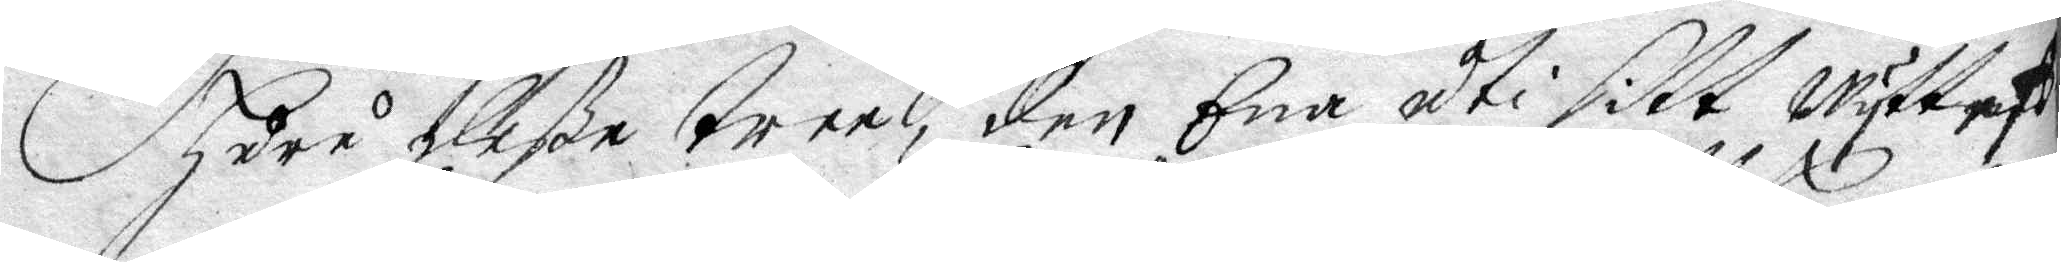huru deße tree, den Ena uti sitt Wyttnes¬
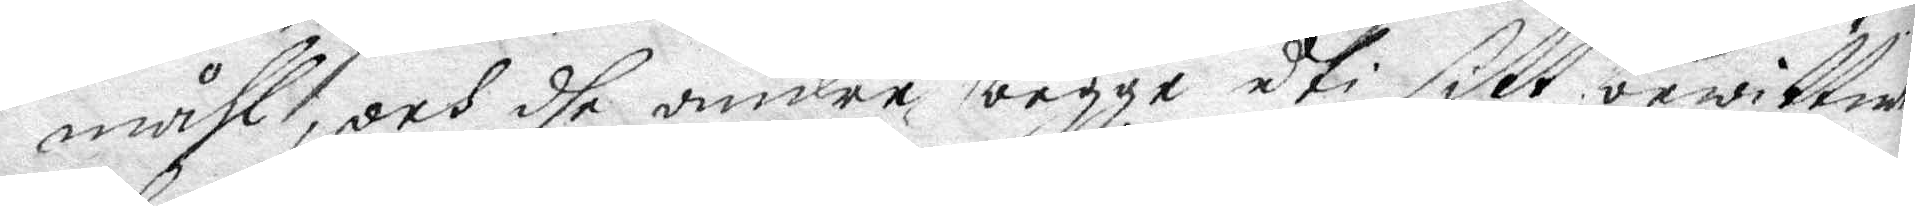måhl, och dhe andre begge uti sitt bewittna
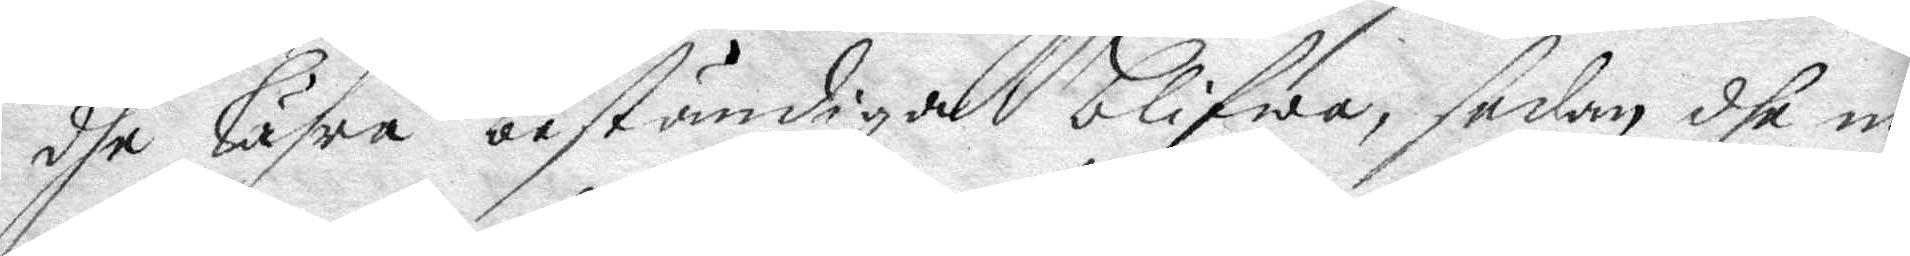dhe lähra beständiga blifwa, sedan dhe no¬
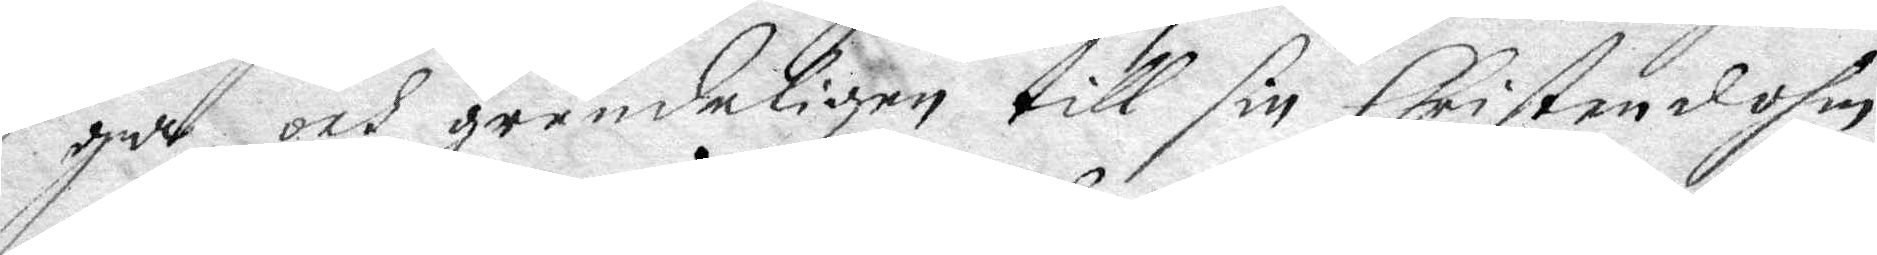ga och grundeligen till sin Christensohm
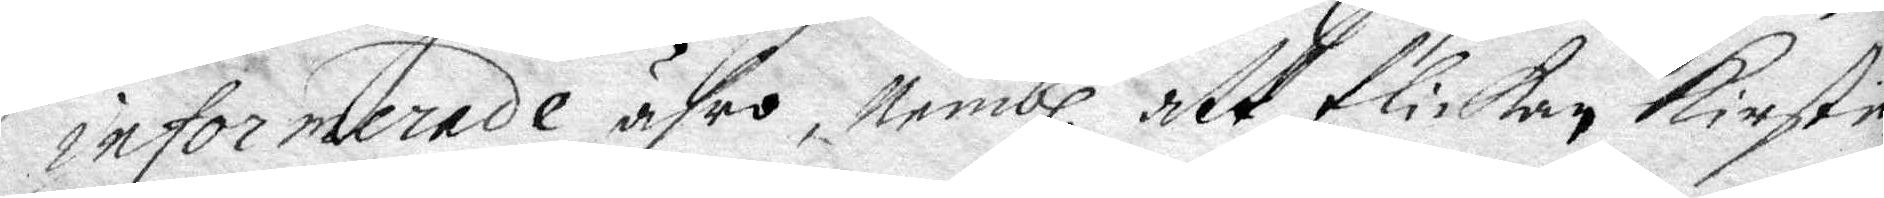informerade ähro, Nembl. att flikan Kirstin
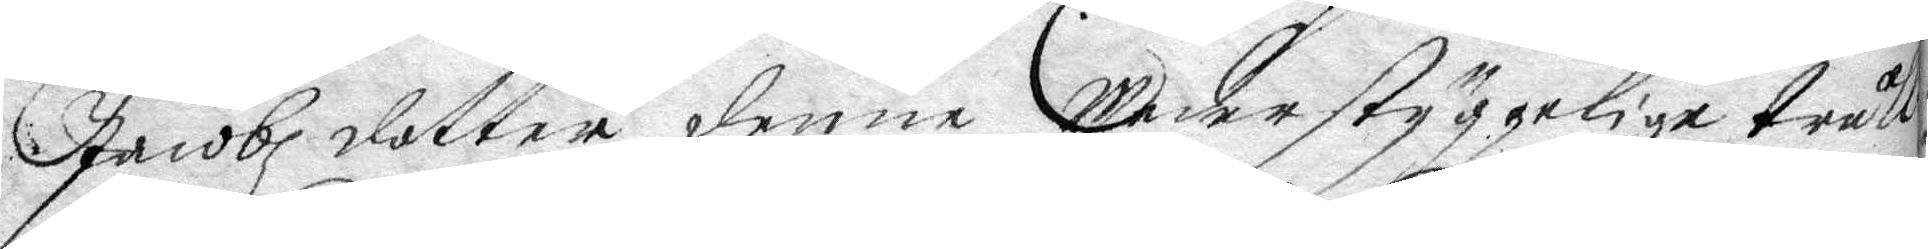Jacobz dotter denne Wederstygelige tråll¬
